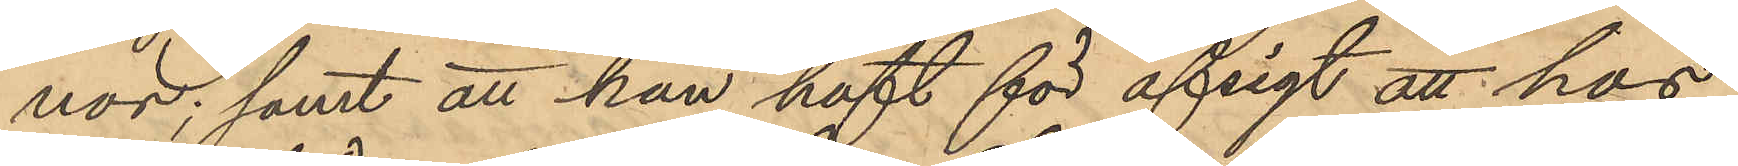nor; samt att han haft för afsigt att hos
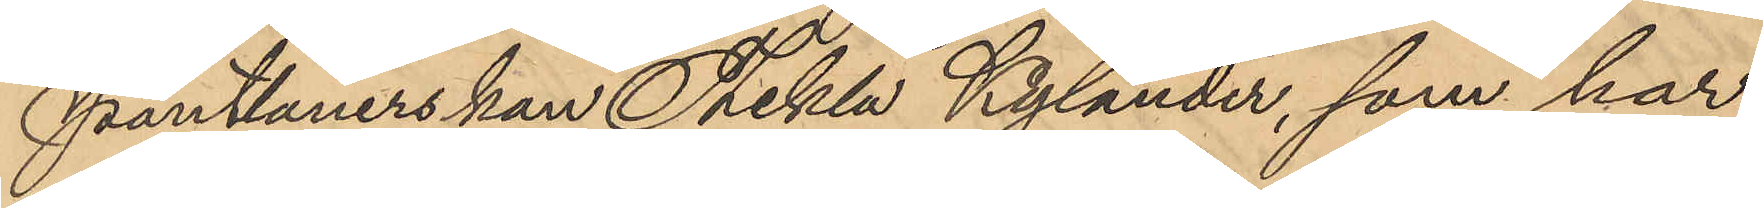Pantlånerskan Tekla Kylander, som har
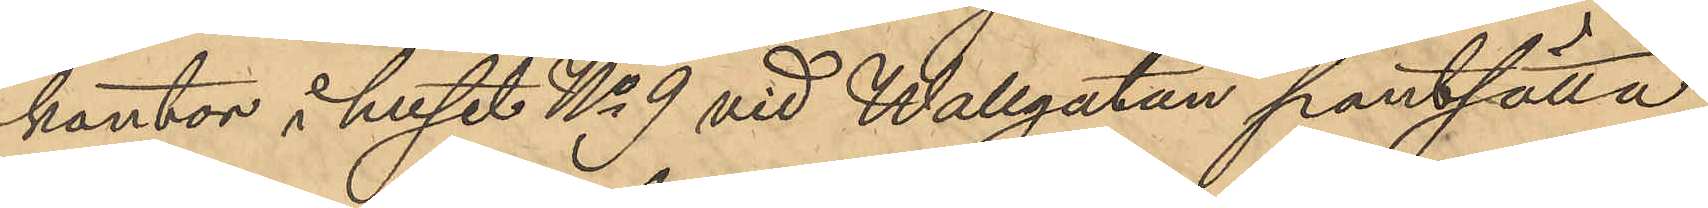kontor i huset No 9 vid Wallgatan pantsätta
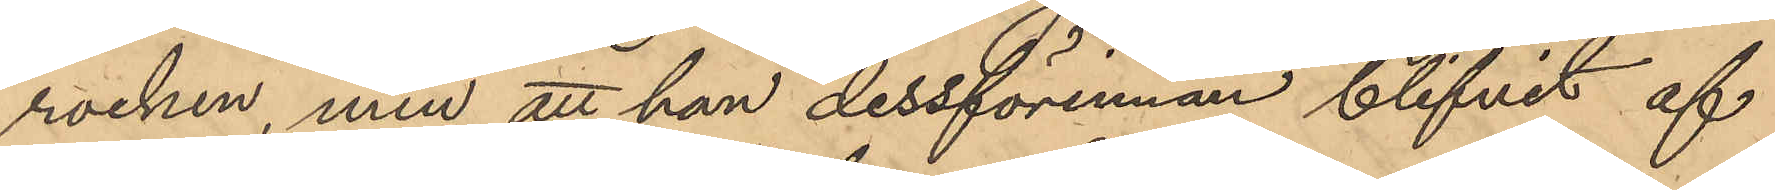rocken, men att han dessförinnan blifvit af
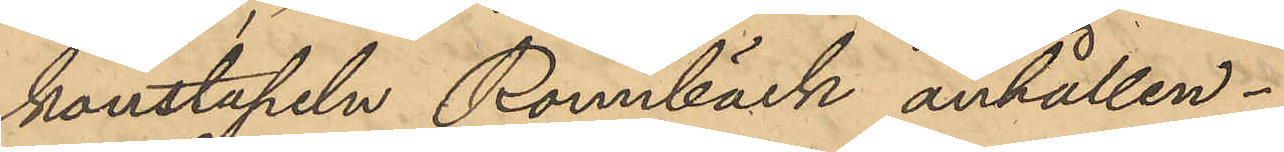konstapeln Rönnbäck anhållen.
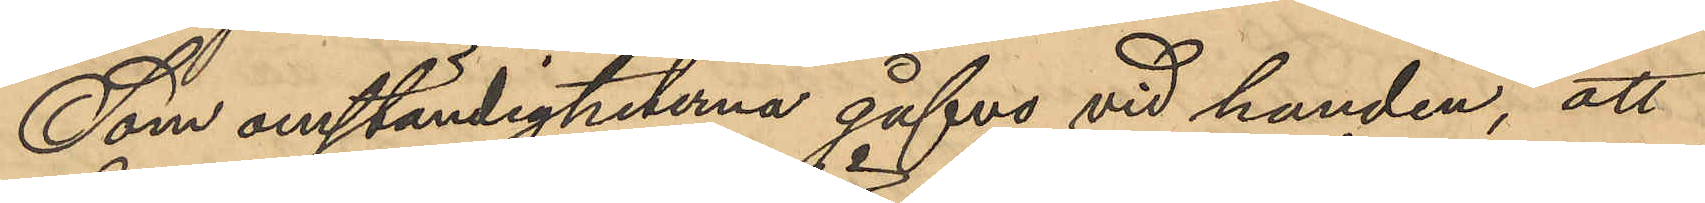Som omständigheterna gåfvo vid handen, att
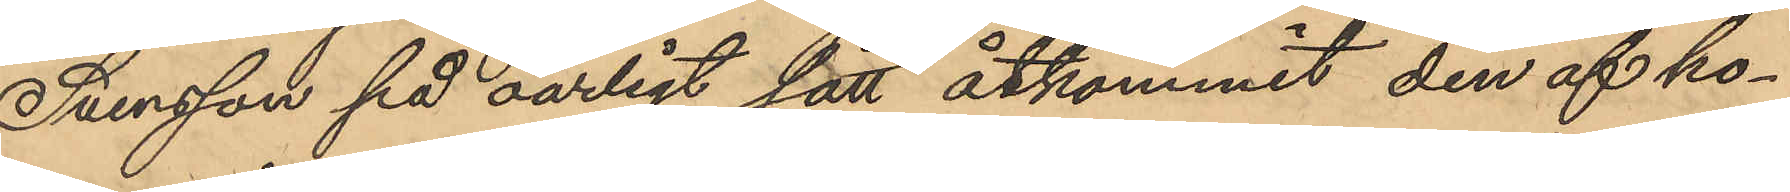Svensson på oärligt sätt åtkommit den af ho¬
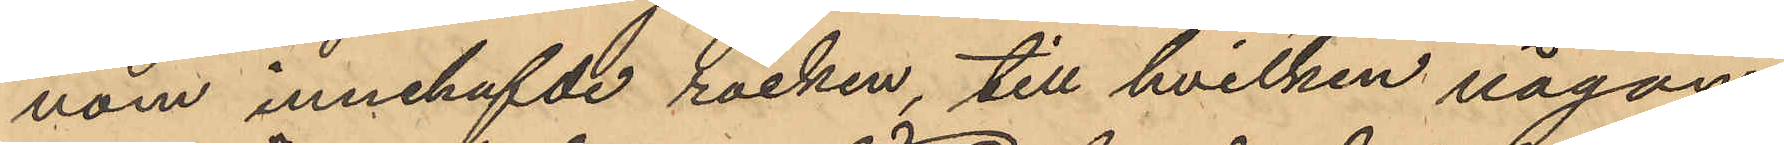nom innehafvde rocken, till hvilken någon
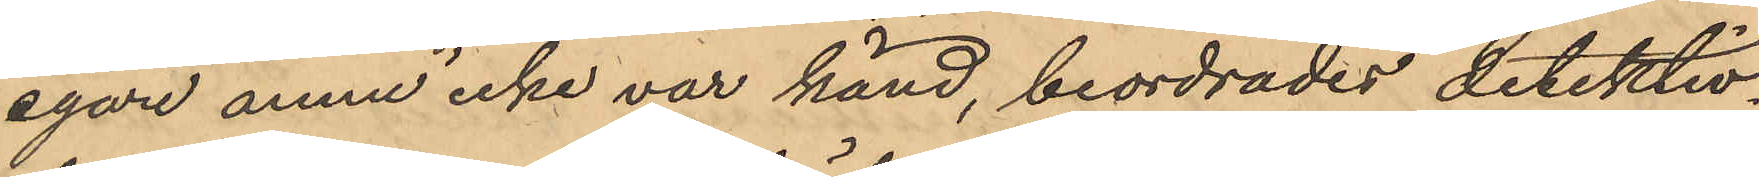egare ännu icke var känd, beordrades detektiv¬
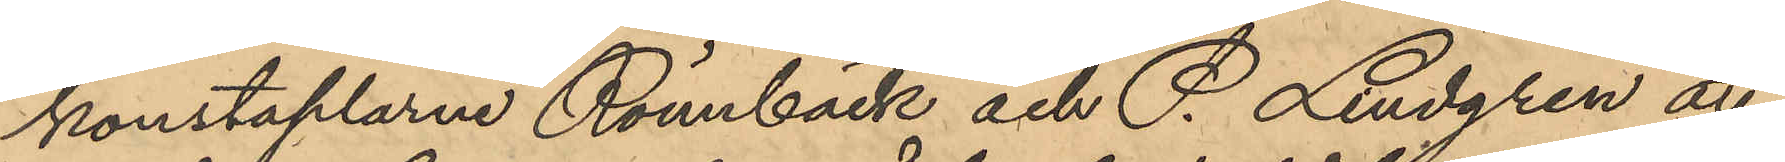konstaplarne Rönnbäck och P. Lindgren att
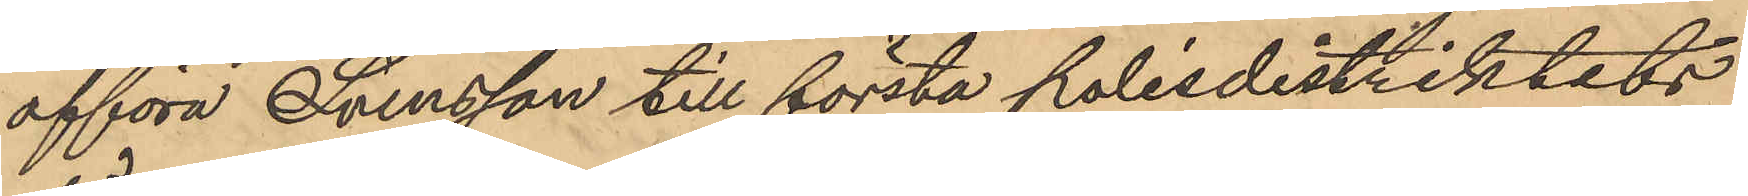afföra Svensson till första polisdistriktets
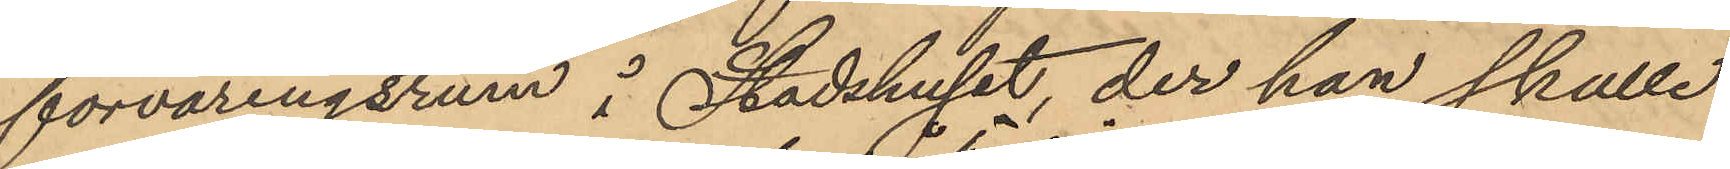förvaringsrum i Stadshuset, der han skulle
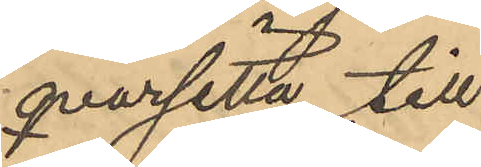qvarsitta till
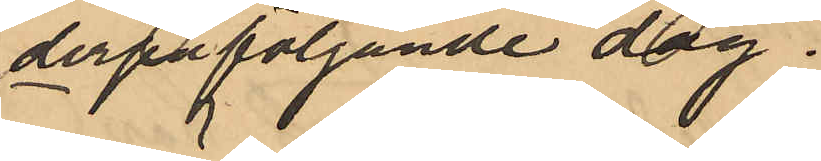derpåföljande dag.
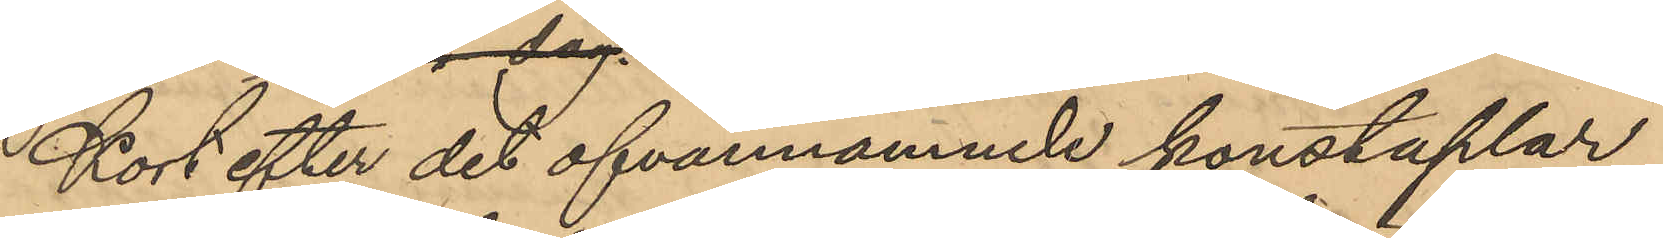Kort efter det ofvannämne konstaplar
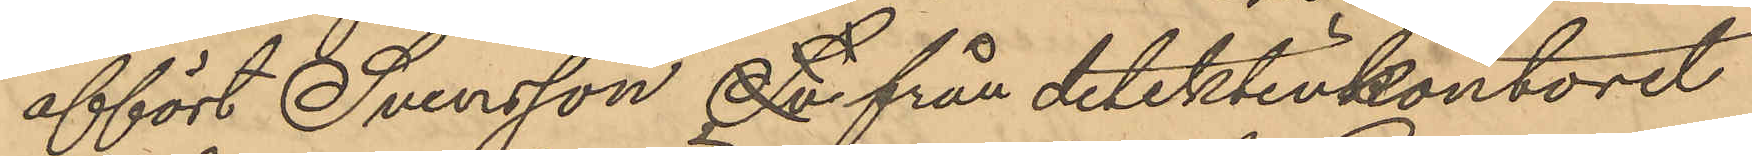affört Svensson Sv från detektivkontoret
